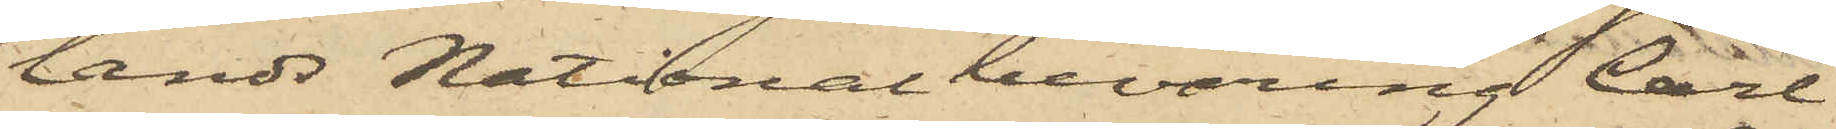lands Nationalbeväring Carl
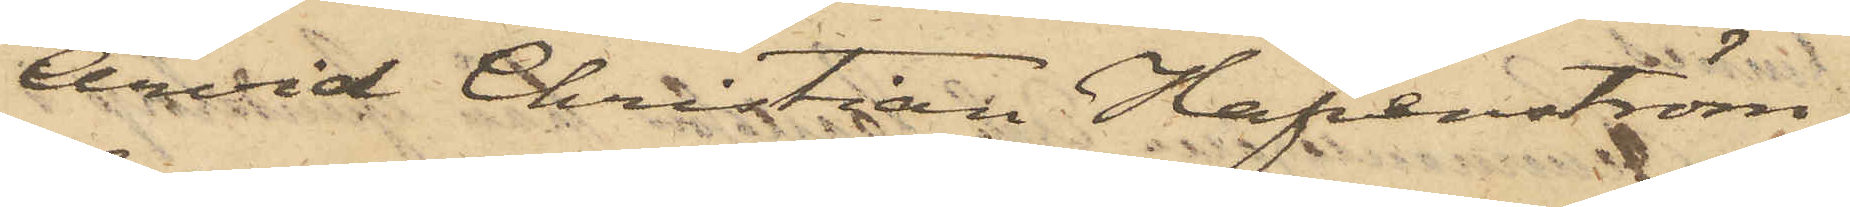Arvid Christian Hafvenström,
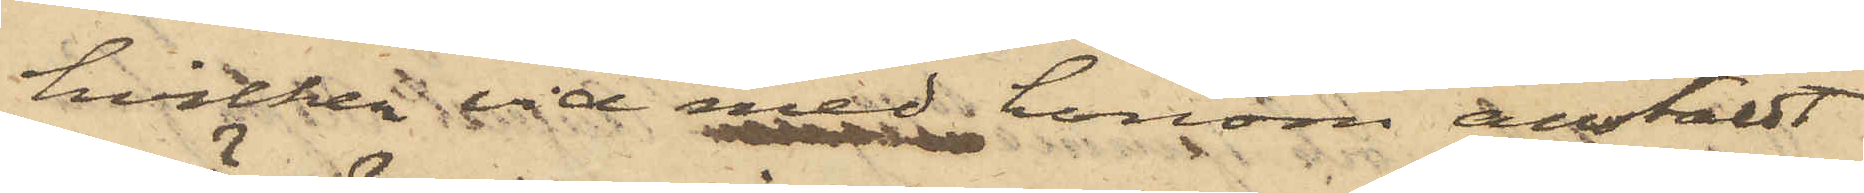hvilken vid med honom anstäldt
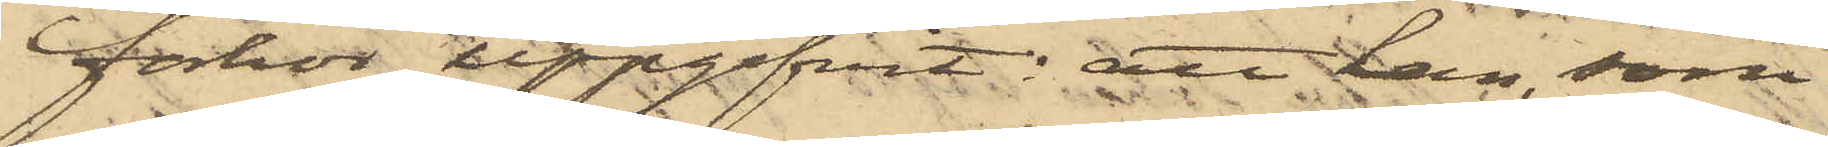förhör uppgifvit: att han, som
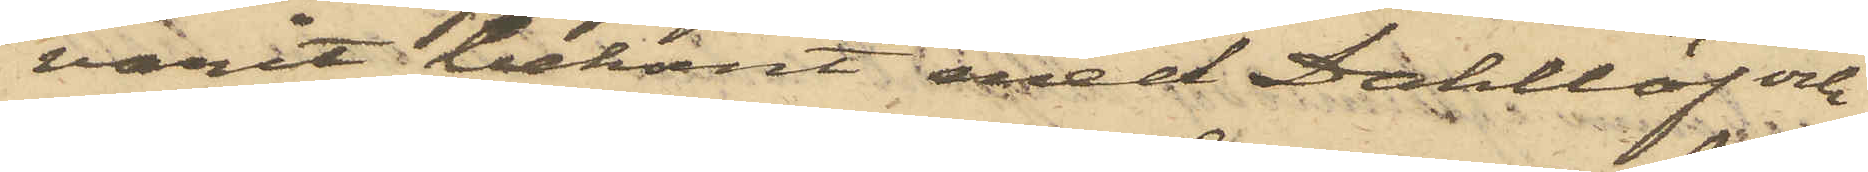varit bekant med Dahllöf och
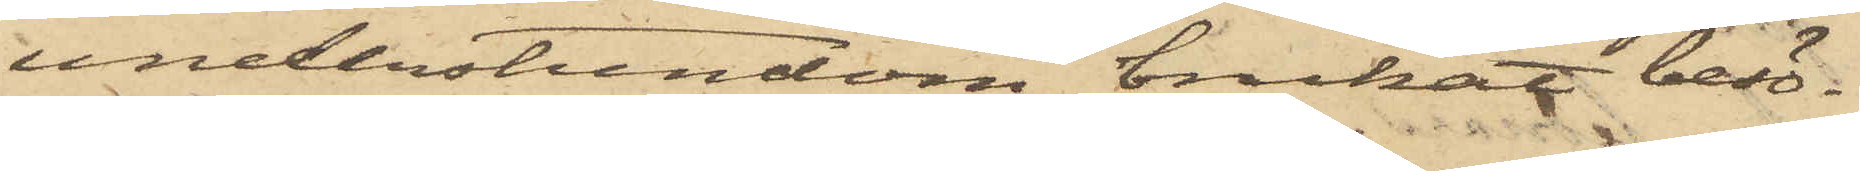understundom brukat besö¬
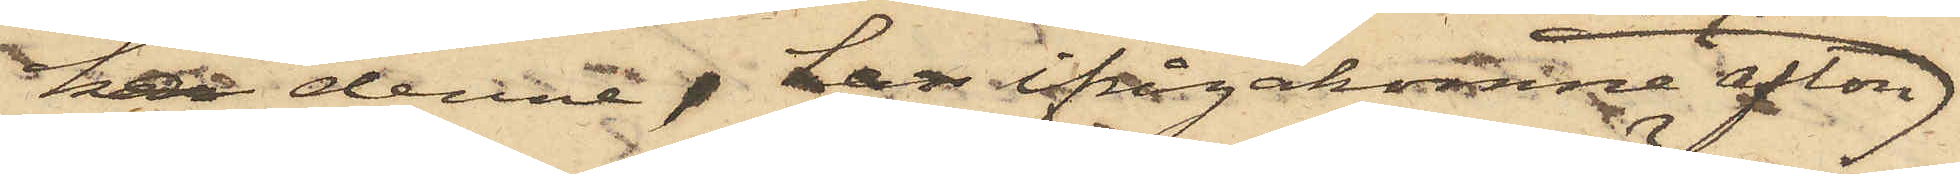ka denne, har ifrågakomne afton
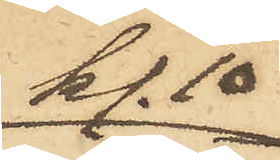kl. 10
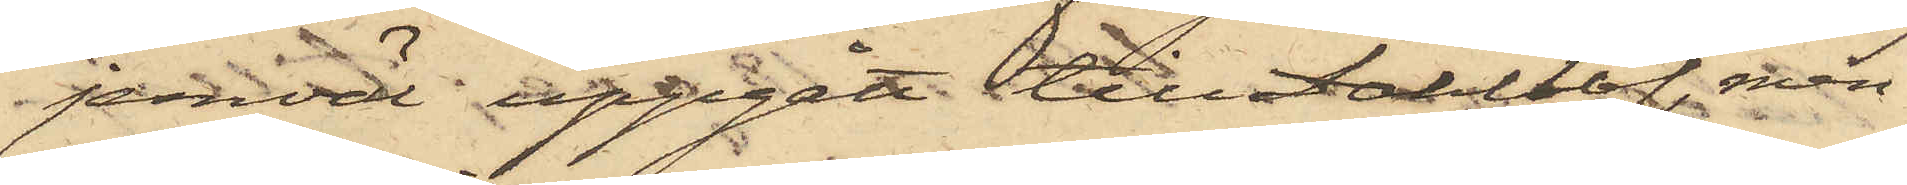jemväl uppgått tillDahllöf, men
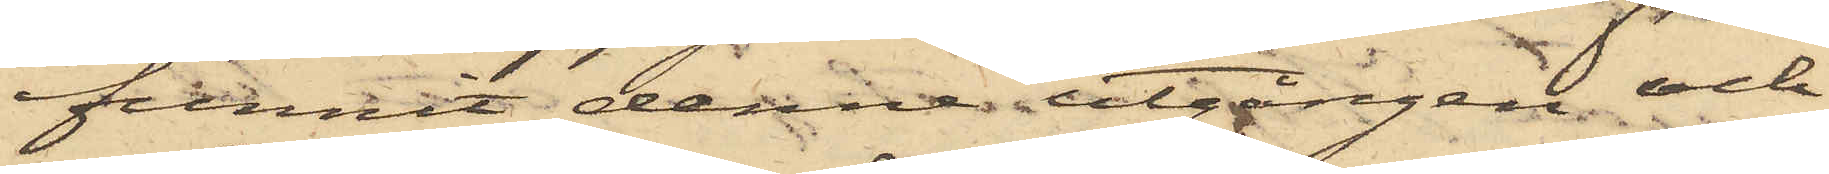funnit denne utgången och
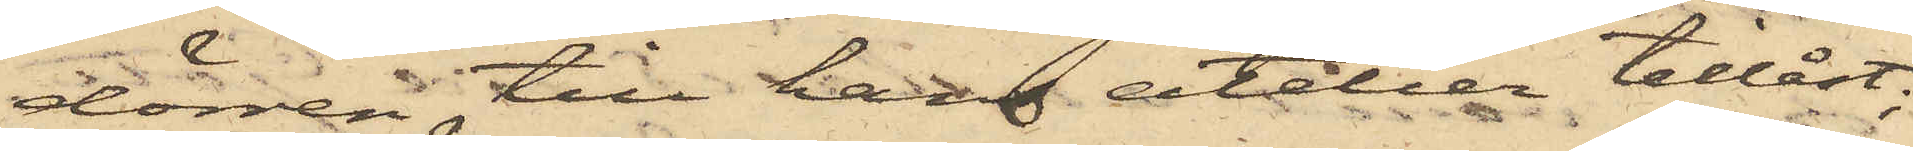dörren till hans atelier tillåst;
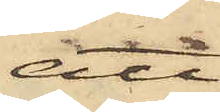att
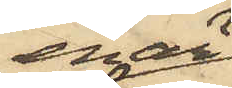enär
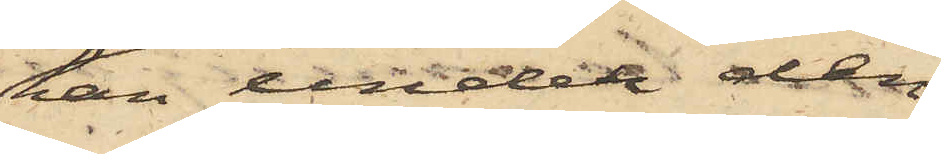han under den
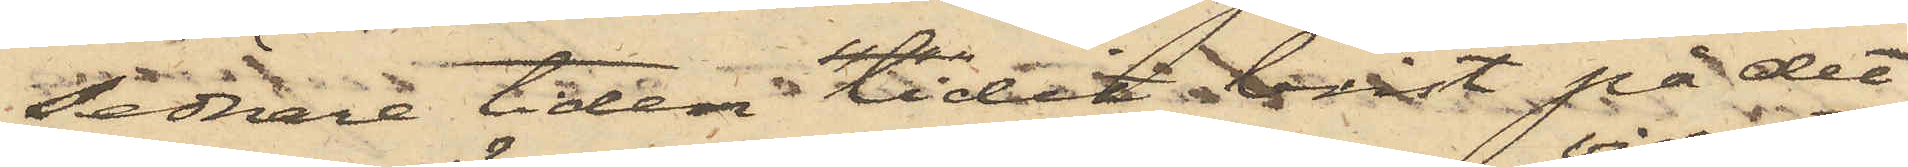sednare tiden lidit brist på det
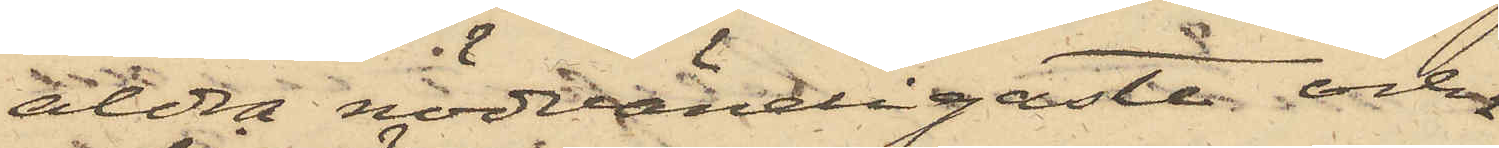allra nödvändigaste och
